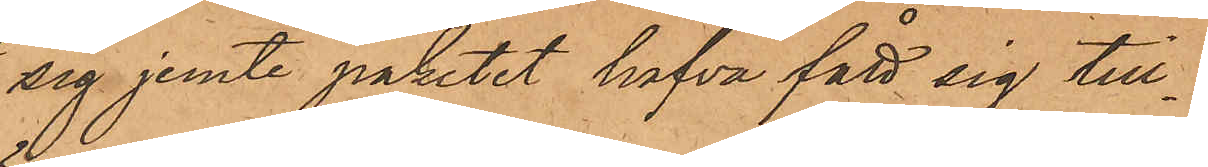sig jemte paketet hafva fått sig till¬
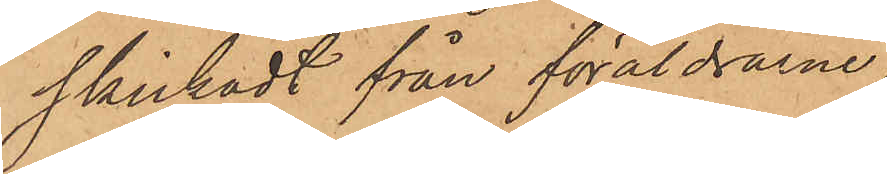skickadt från föräldrarne;
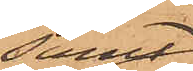samt
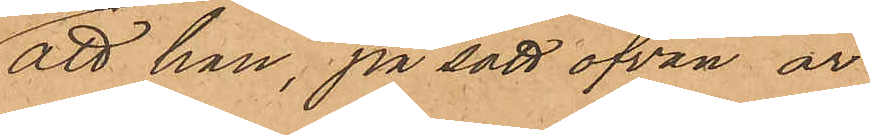att han, på sätt ofvan är
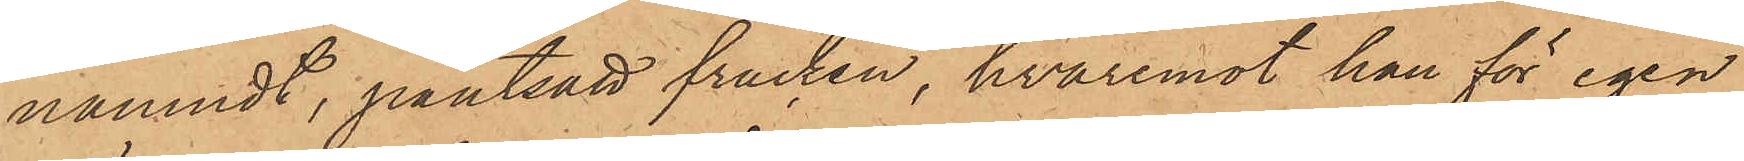nämndt, pantsatt fracken, hvaremot han för egen
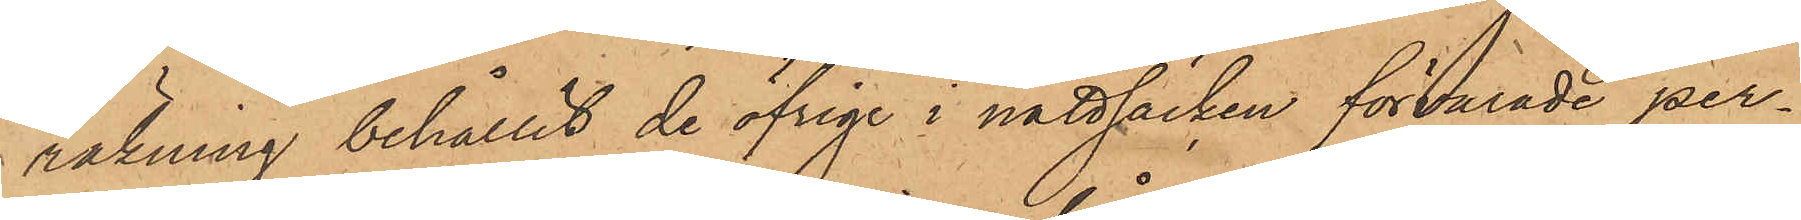räkning behållit de öfrige i nattsäcken förvarade per¬
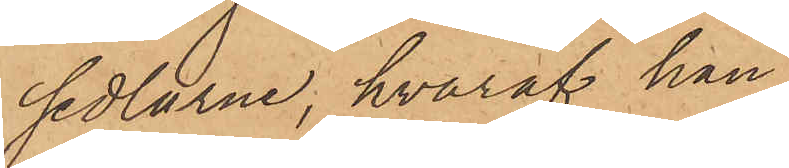sedlarne, hvaraf han
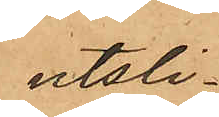utsli¬
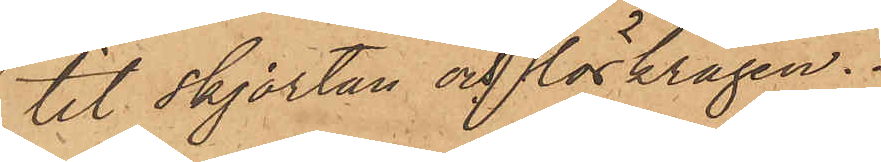tit skjortan och löskragen.
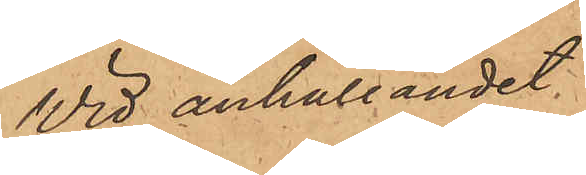Wid anhållandet var
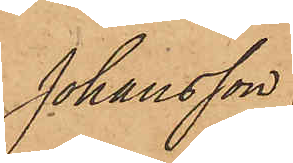Johansson
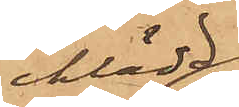iklädd
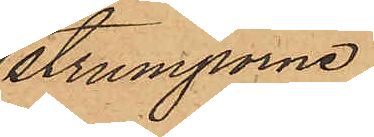strumporna
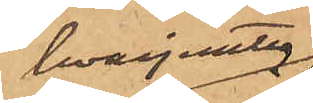hvarjemte
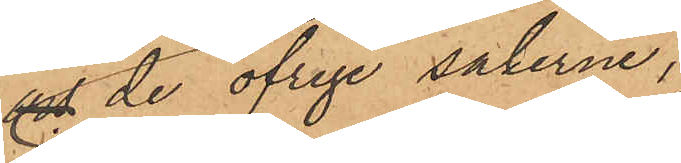och de öfrige sakerna
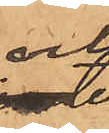och
